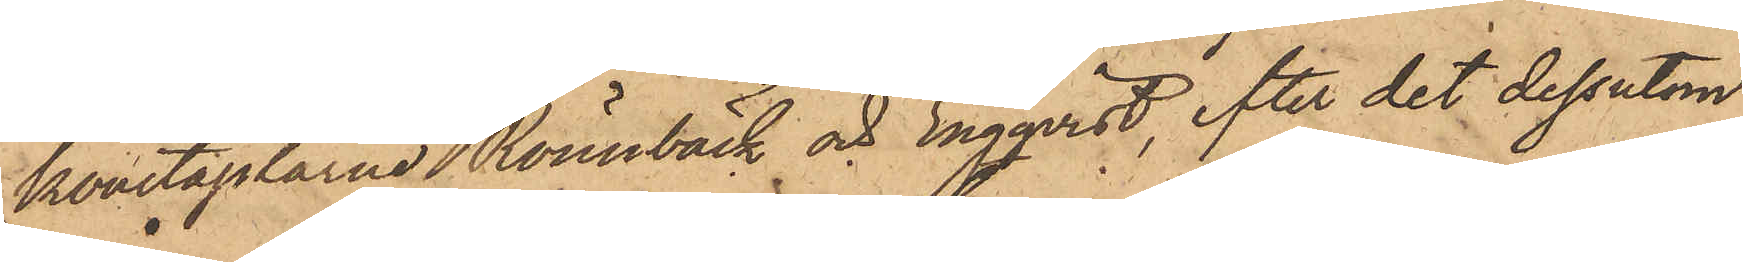konstaplarne Rönnbäck och Engqvist, efter det dessutom
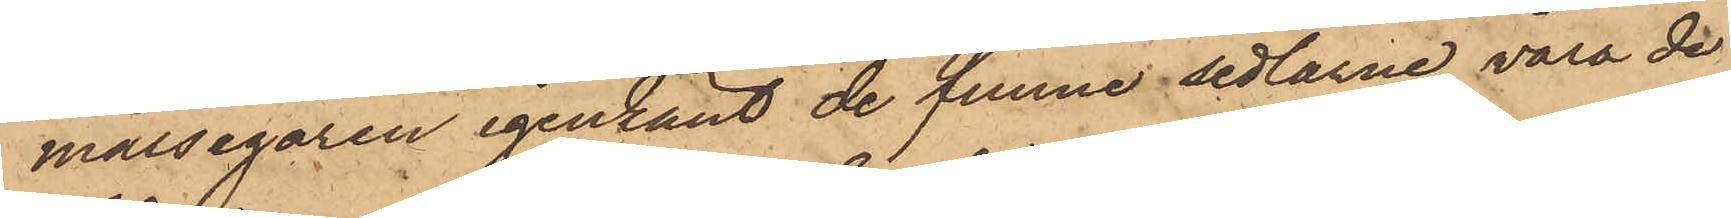målsegaren igenkänt de funne sedlarne vara de
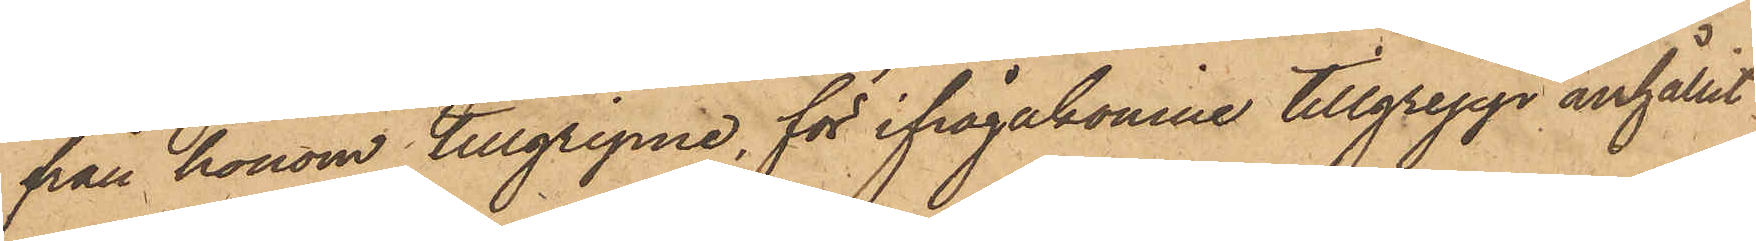från honom tillgripne, för ifrågakomne tillgrepp anhållit
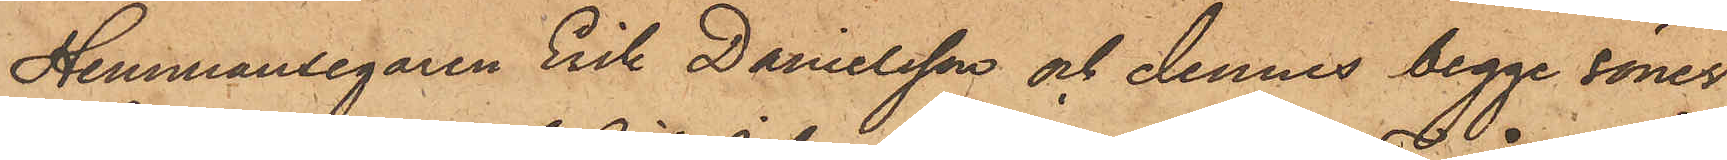Hemmansegaren Erik Danielsson och dennes begge söner
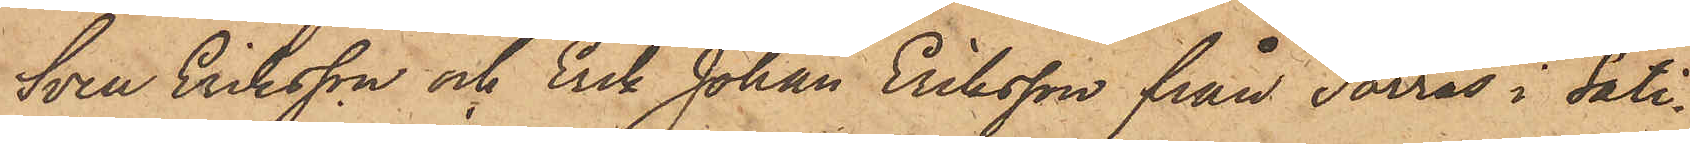Sven Eriksson och Erik Johan Eriksson från Torrås i Säti¬
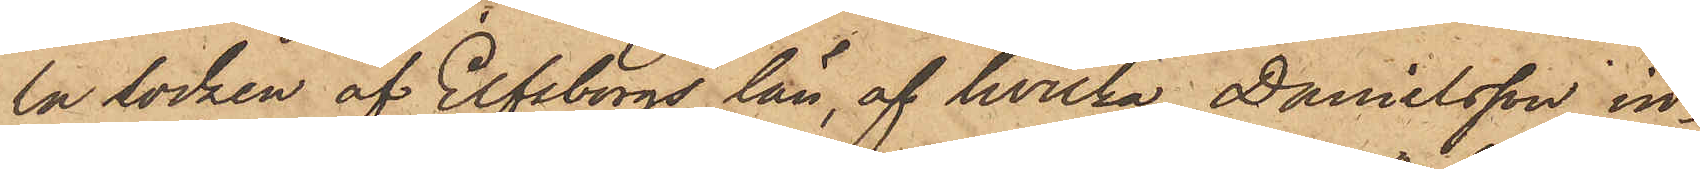la Socken af Elfsborgs län, af hvilka Danielsson in¬
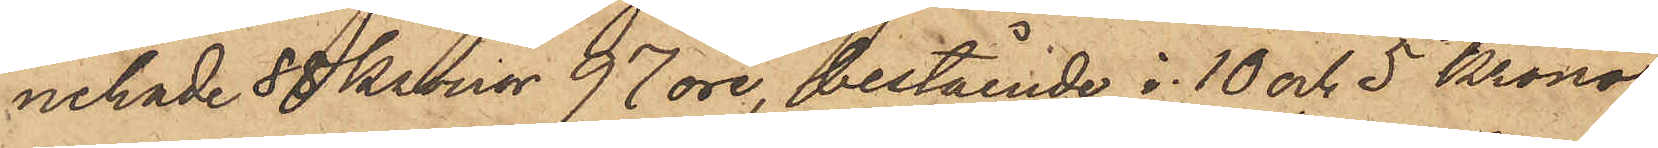nehade 88 Kronor 97 öre, bestående i 10 och 5 Krono¬
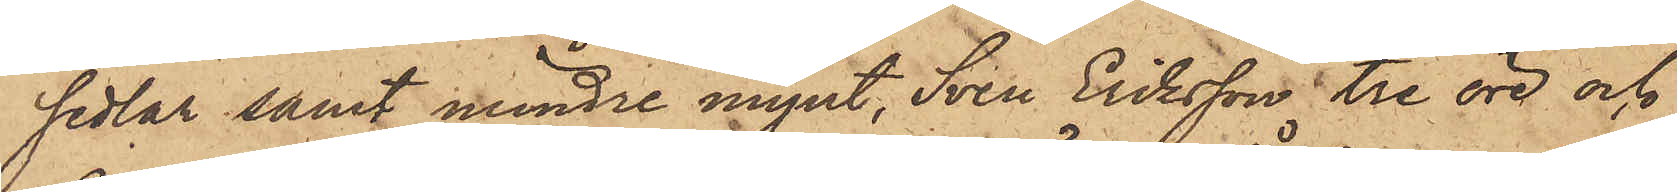sedlar samt mindre mynt, Sven Eriksson tre öre och
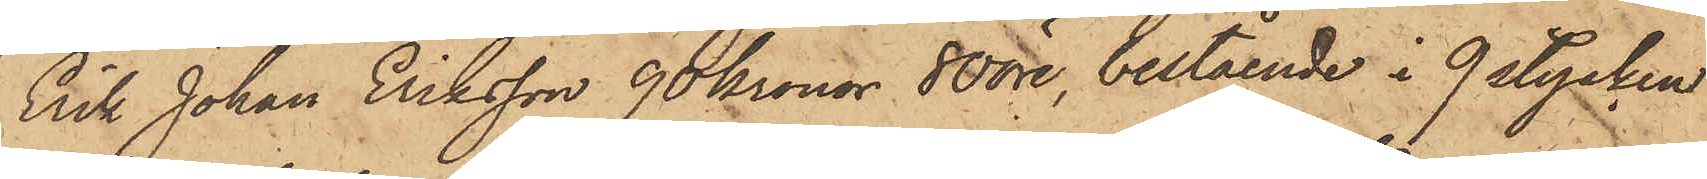Erik Johan Eriksson 90 Kronor 80 öre, bestående i 9 stycken
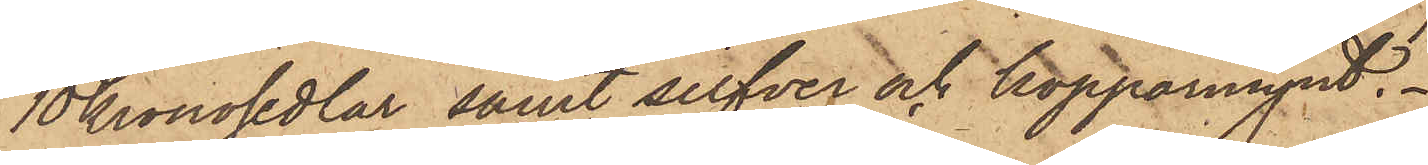10 kronosedlar samt silfver och kopparmynt.
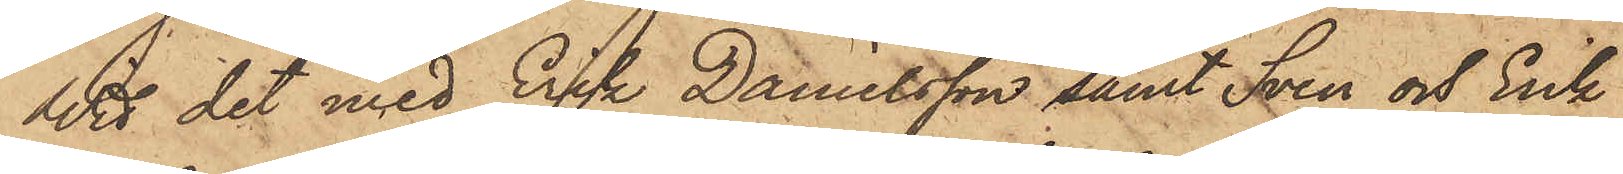Wid det med Erik Danielsson samt Sven och Erik
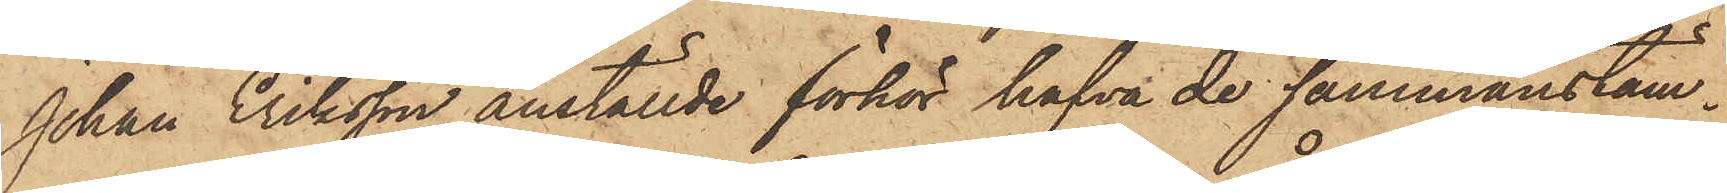Johan Eriksson anställde förhör hafva de sammanstäm¬
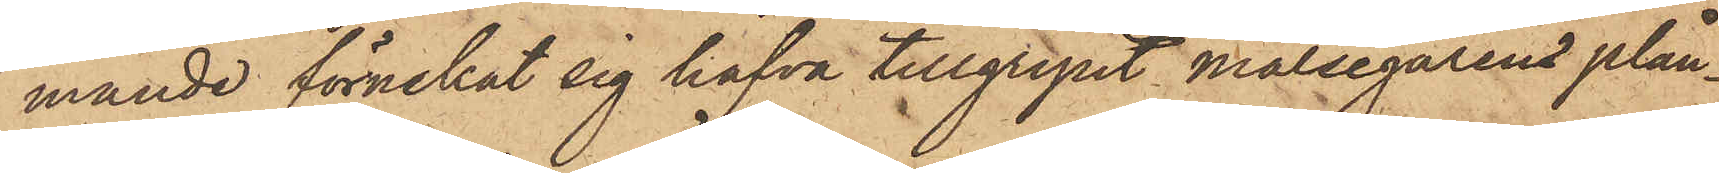mande förnekat sig hafva tillgripit målsegarens plån¬
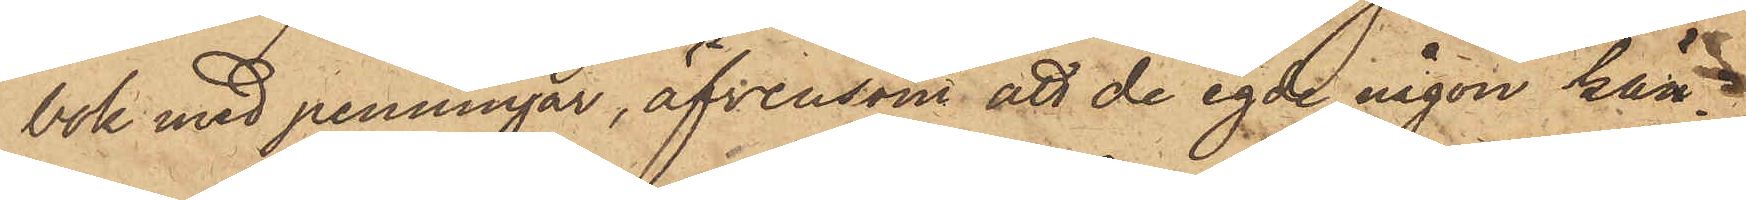bok med penningar, äfvensom att de egde någon kän¬
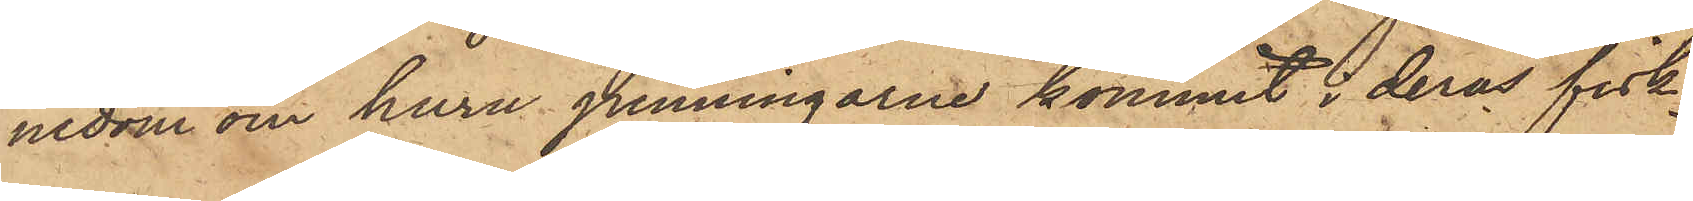nedom om huru penningarne kommit i deras fisk¬
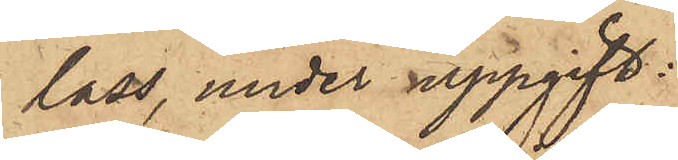lass, under uppgift:
